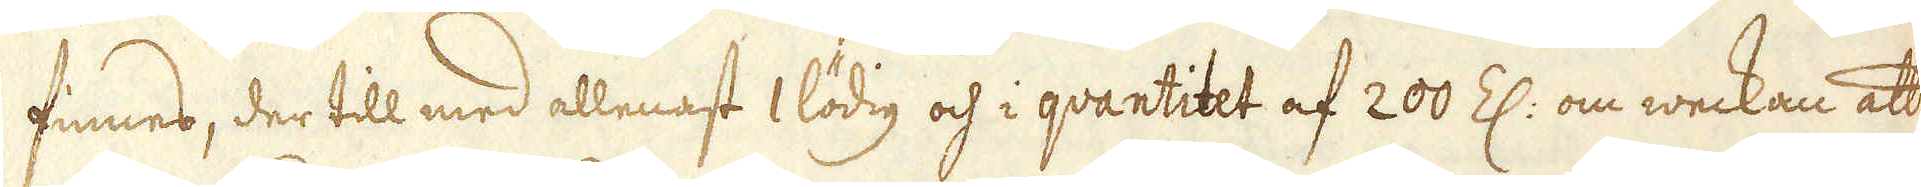finnes, der till med allenast 1 lödig och i qvantitet af 200 Z: om weckan att
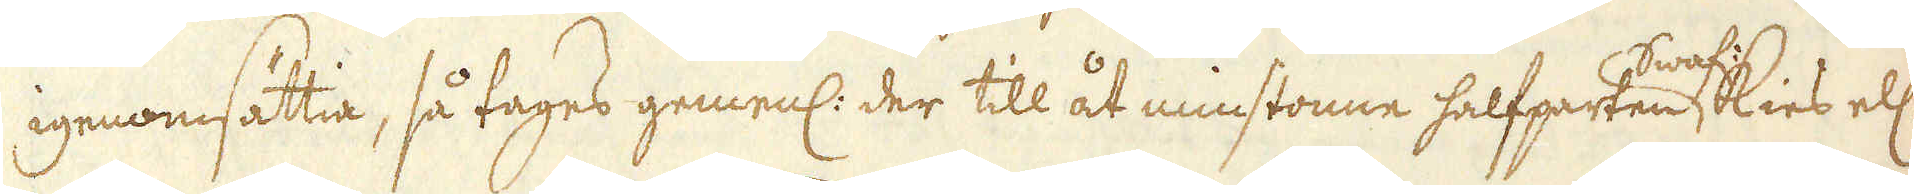igenomsättia, så tages gemenl: der till åt minstonne halfparten Swaf:kies ell:
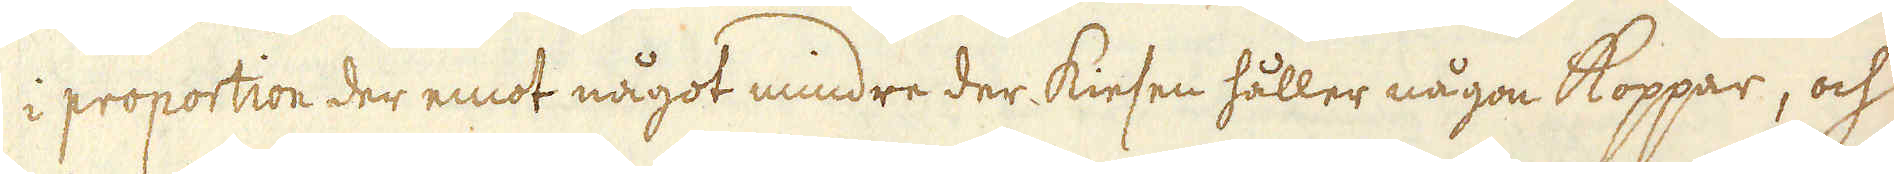i proportion der emot något mindre der kiesen håller någon koppar, och
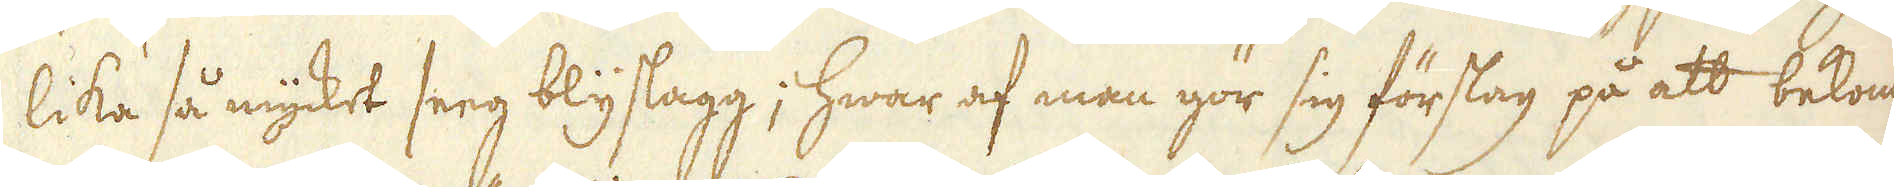lika så mycket seeg blyslagg; hwar af man gör sig förslag på att bekomma
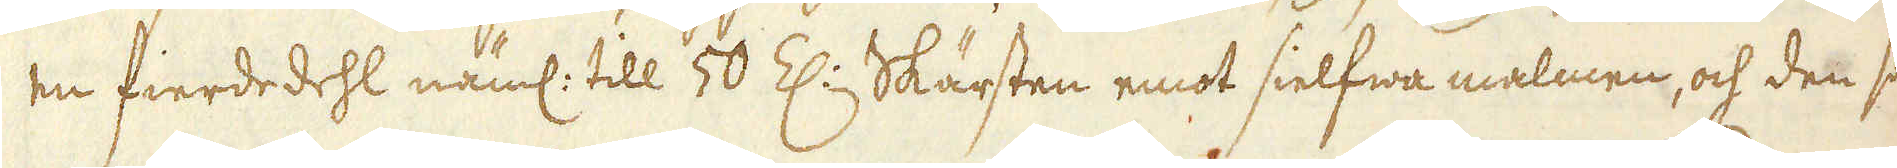en fierdedehl näml: till 50 Z:n, Skärsten emot sielfwa malmen, och den sam-
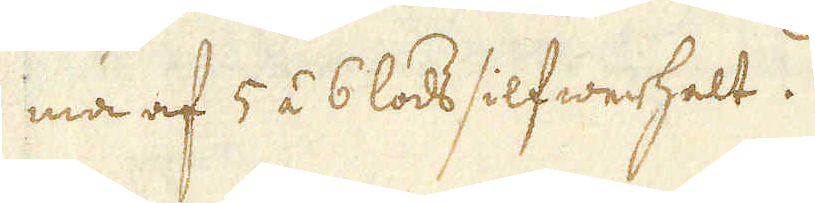ma af 5 á 6 lods silfwerhalt.
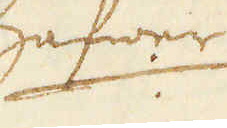Hafwer
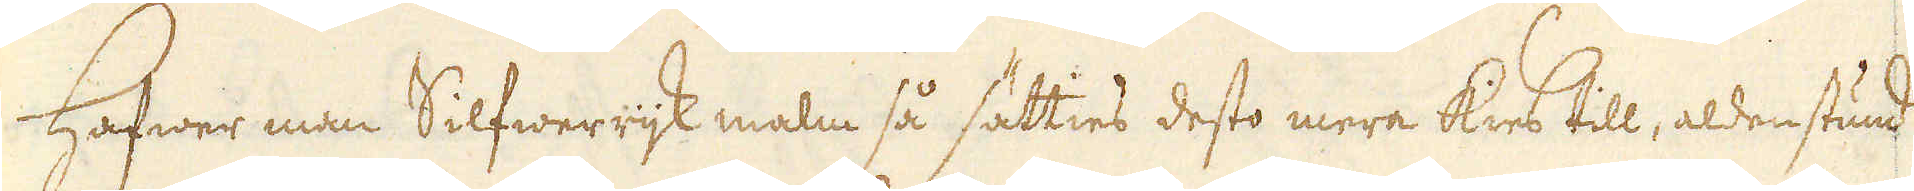Hafwer man Silfwerrijk malm så sätties desto mera kies till, aldenstund
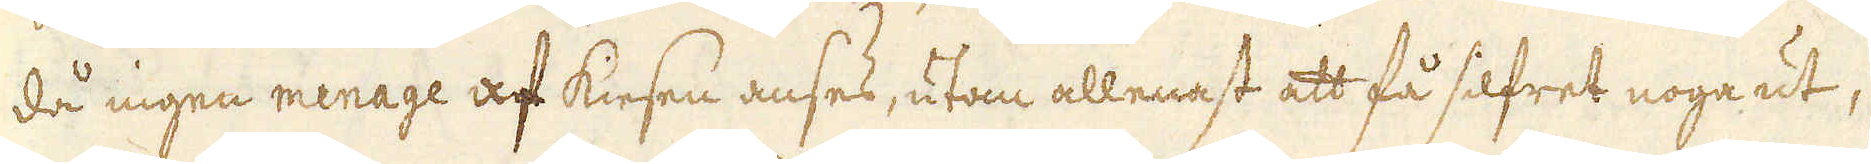då ingen menage af kiesen anses, utan allenast att få silfret noga ut,
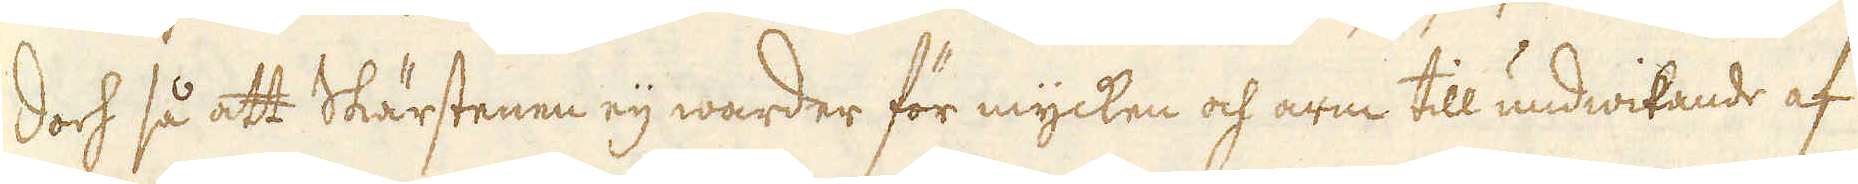Doch så att Skärstenen eij warder för mycken och arm till undwikande af
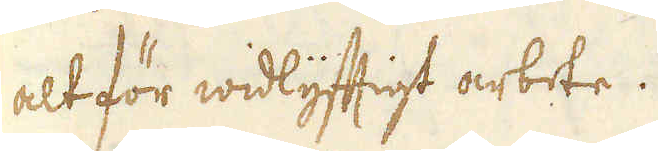alt för widlyfftigt arbete.
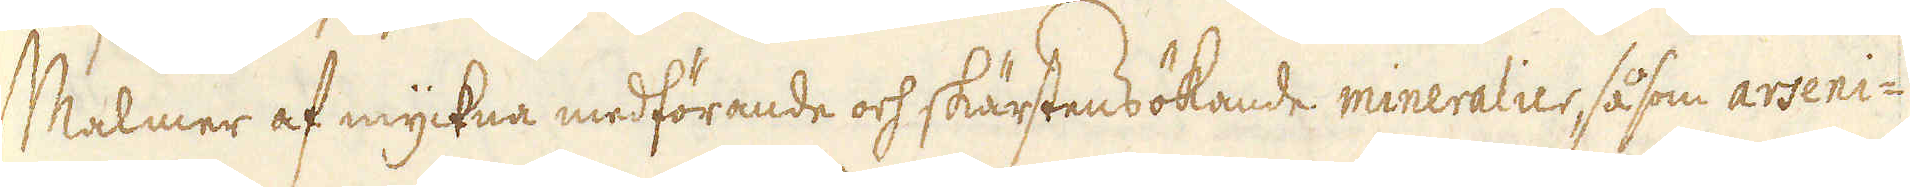Malmer af myckna medförande och skärstensökande mineralier såsom arseni-
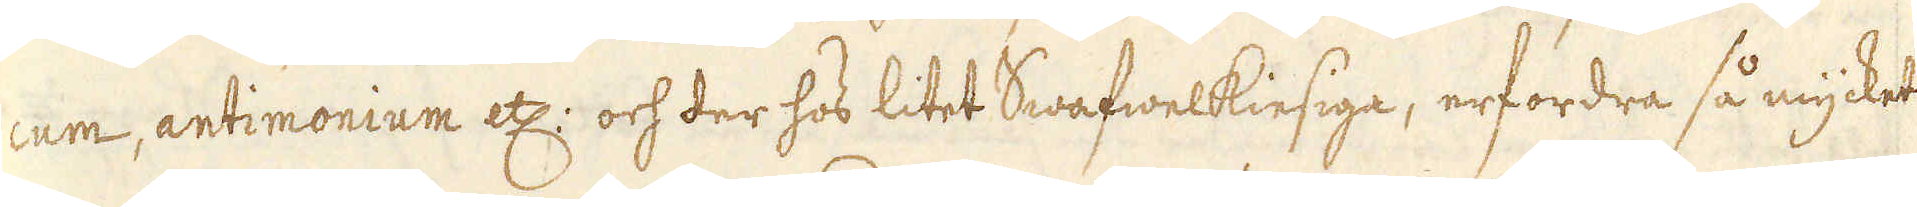cum, antimonium etc: och der hos litet Swafwelkiesiga, erfordra så mycket
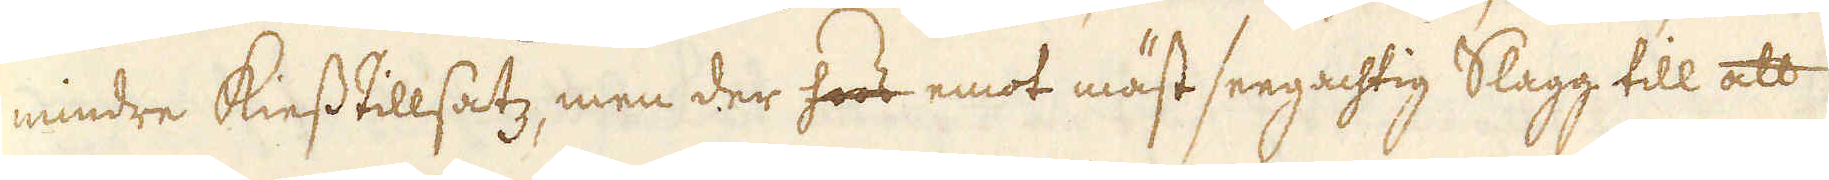mindre kiesstillsatz, men der hoos emot mäst seegachtig Slagg till att
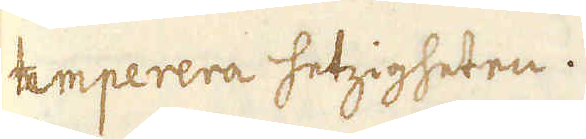temperera hetzigheten.
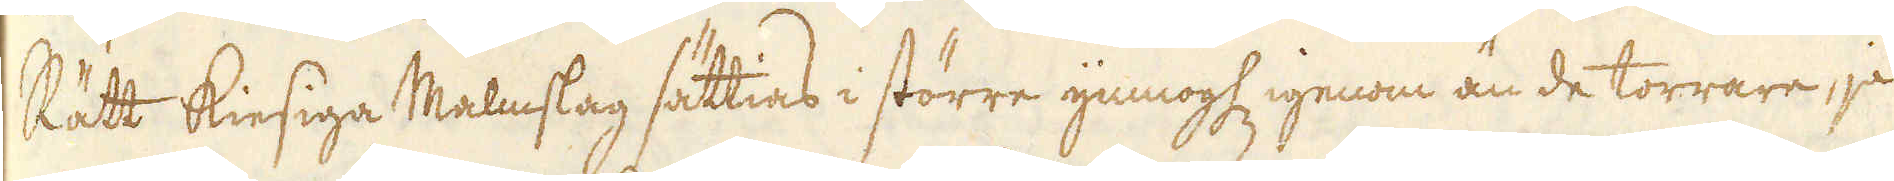Rätt kiesiga Malmslag sättias i större ymnoghet genom än de torrare, ja
